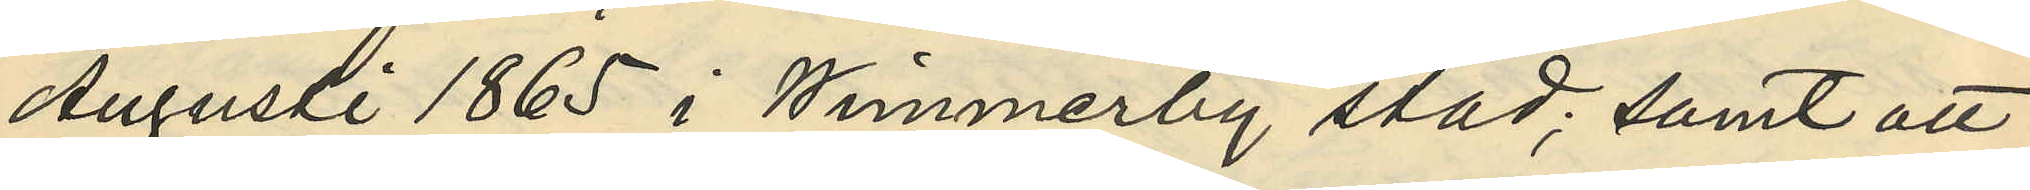Augusti 1865 i Wimmerby stad; samt att
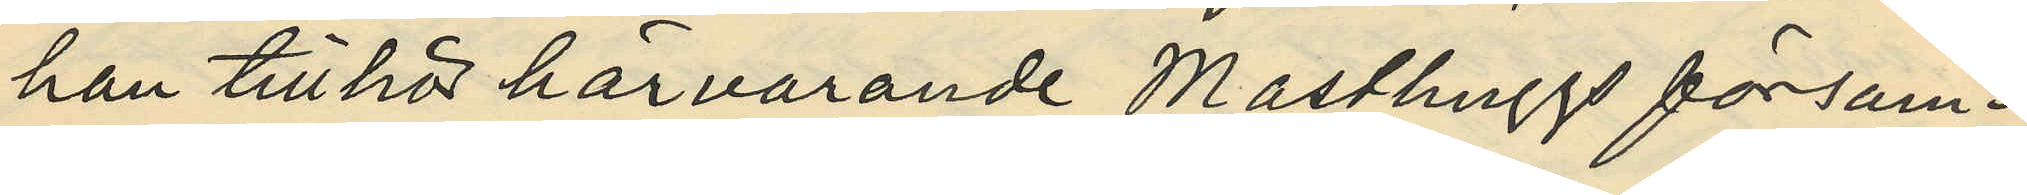han tillhör härvarande Masthuggs försam¬
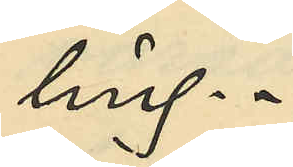ling.
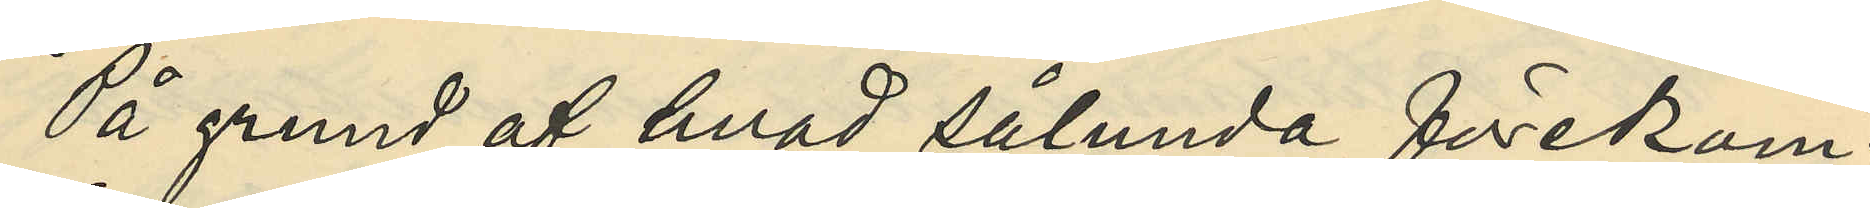På grund af hvad sålunda förekom¬
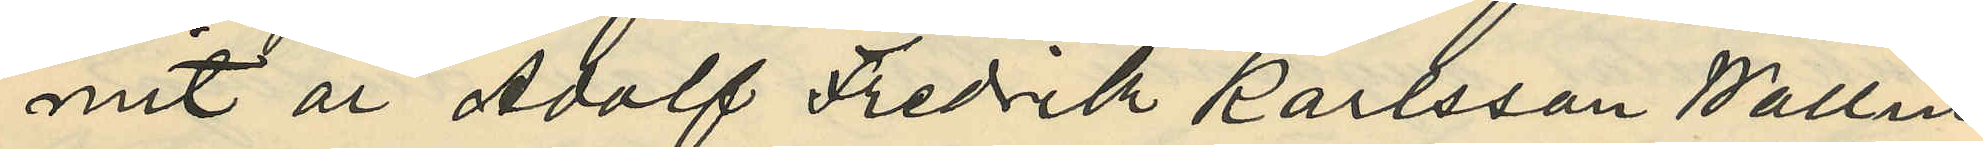mit är Adolf Fredrik Karlsson Wallin
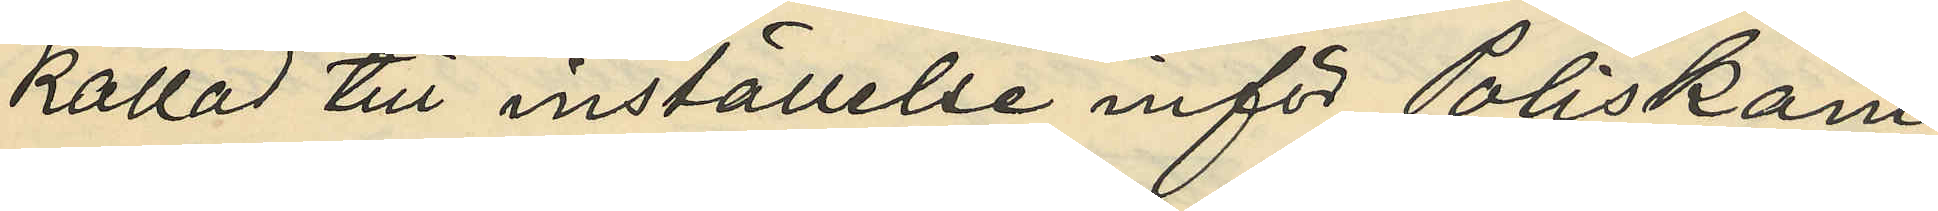kallad till inställelse inför Poliskam¬
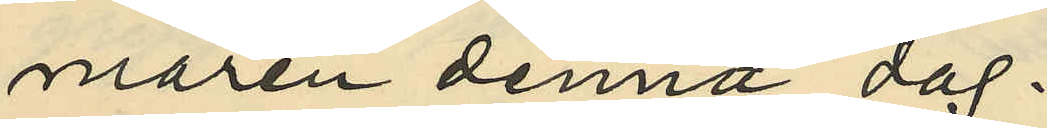maren denna dag.
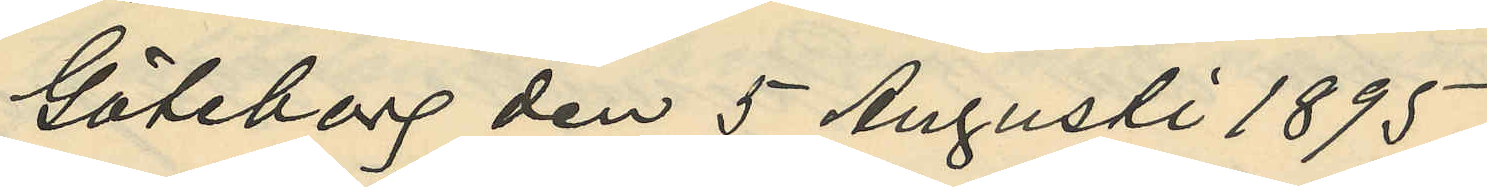Göteborg den 5 Augusti 1895.
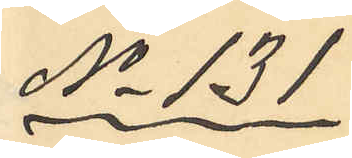No 131
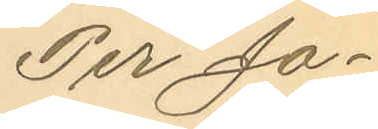Per Jo¬
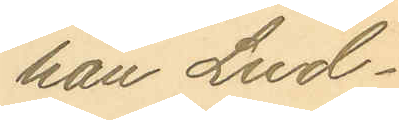han Lud¬
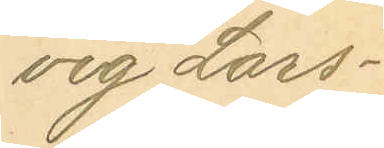vig Lars¬
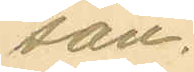son.
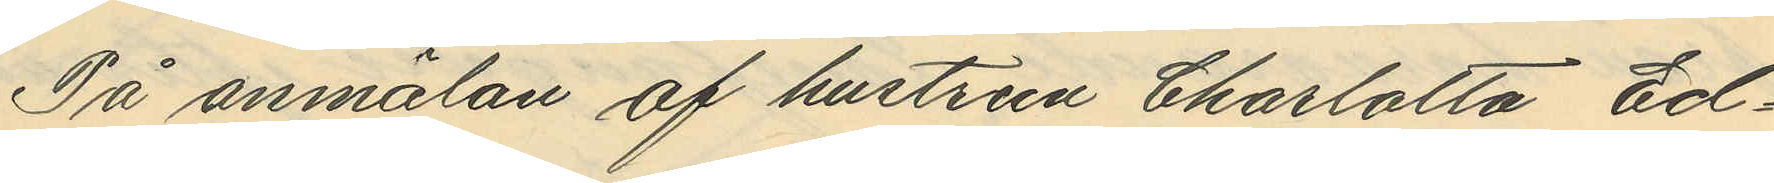På anmälan af hustrun Charlotta Ed¬
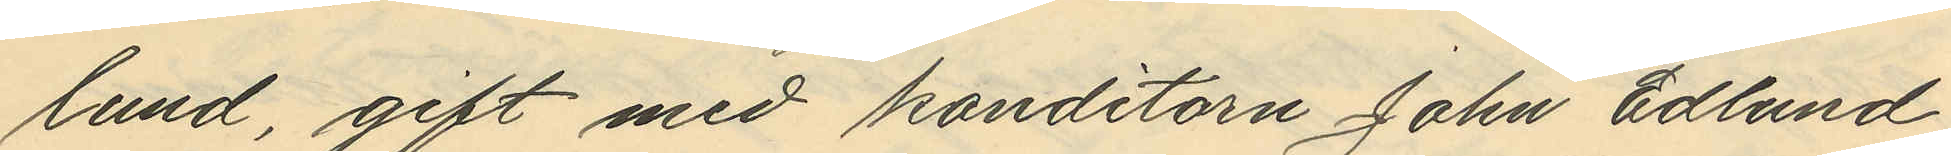lund, gift med konditorn John Edlund
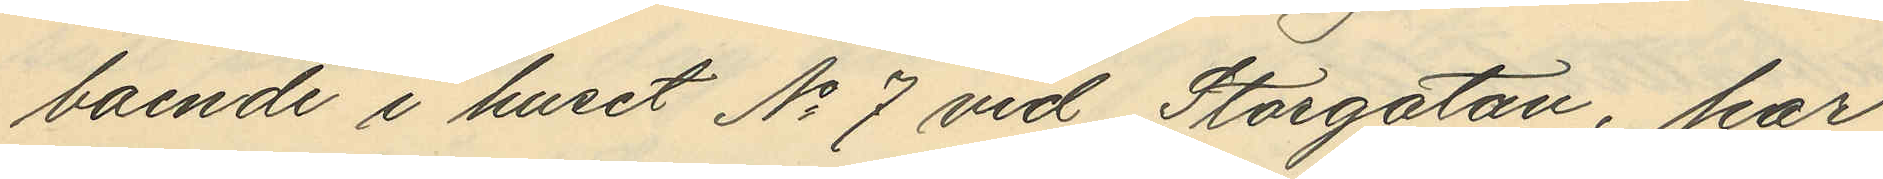boende i huset No 7 vid Storgatan, har
